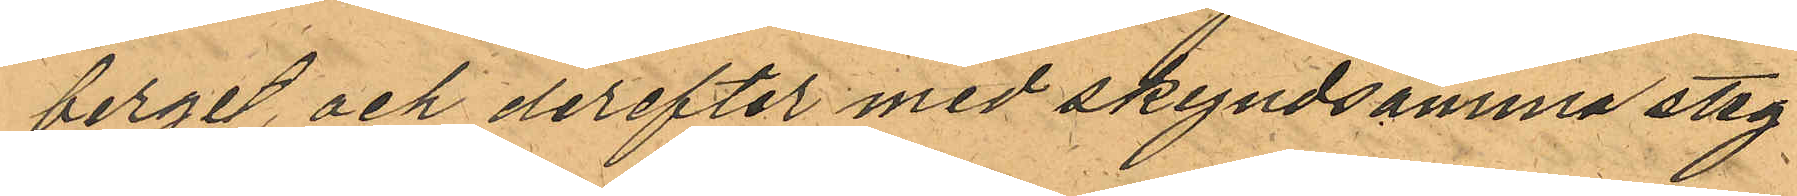berget, och derefter med skyndsamma stag
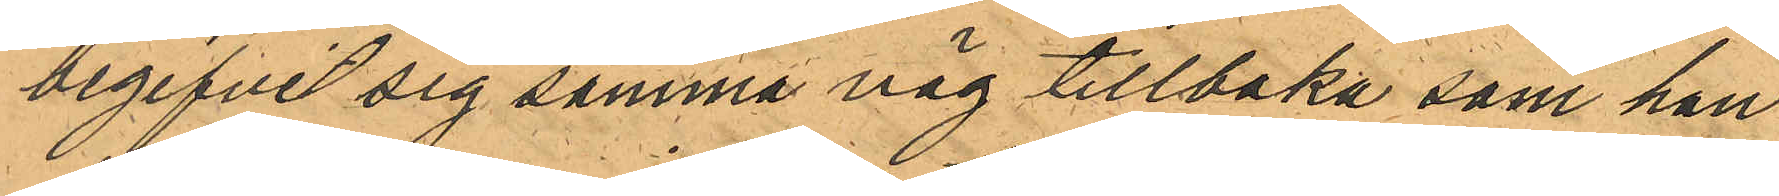begifvit sig samma väg tillbaka som han
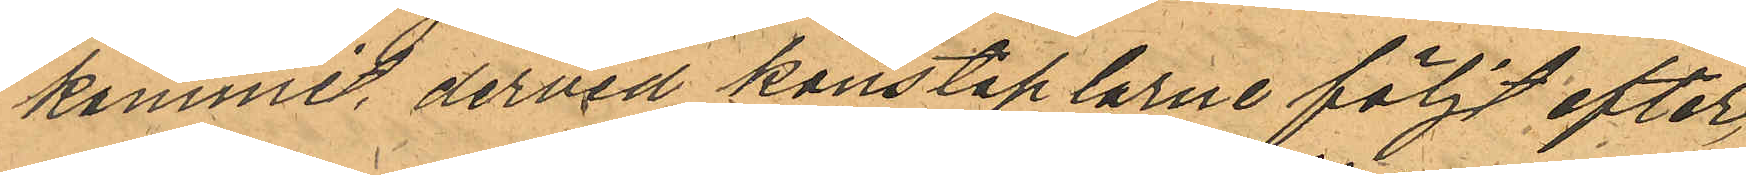kommit, dervid konstaplarne följt efter,
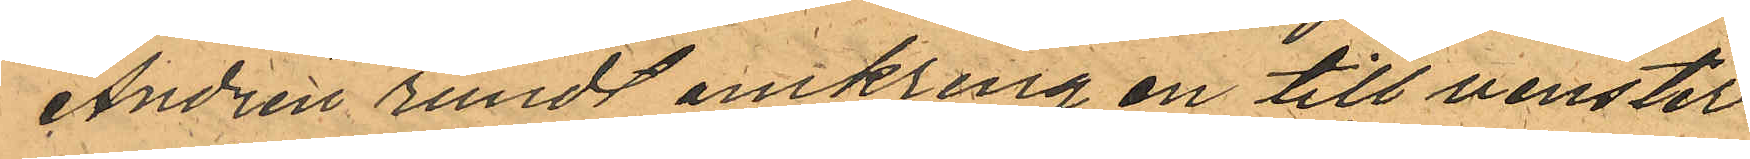Andrén rundt omkring en till venster
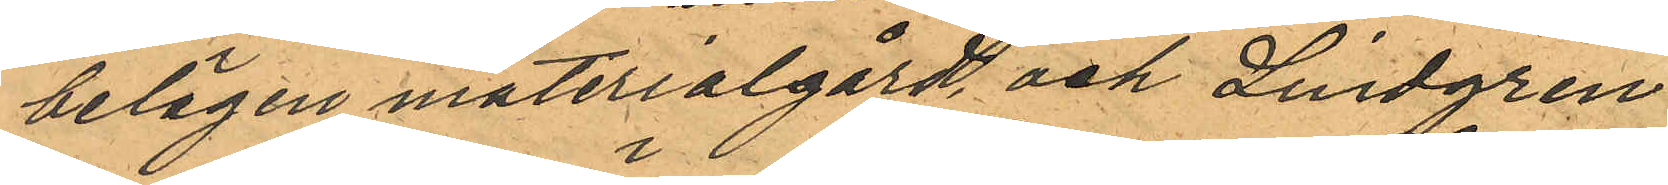belägen materialgård och Lindgren
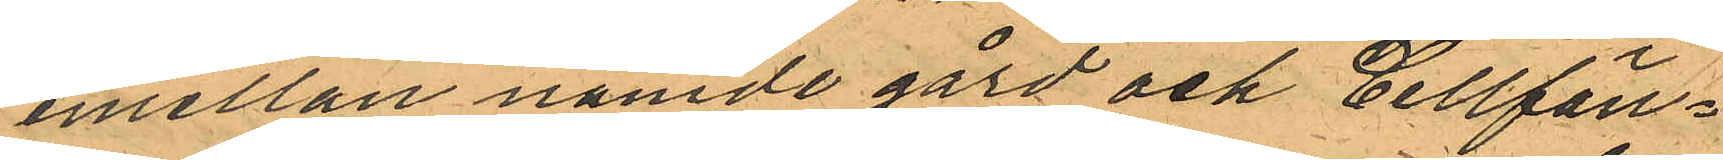emellan nämde gård och Cellfän¬
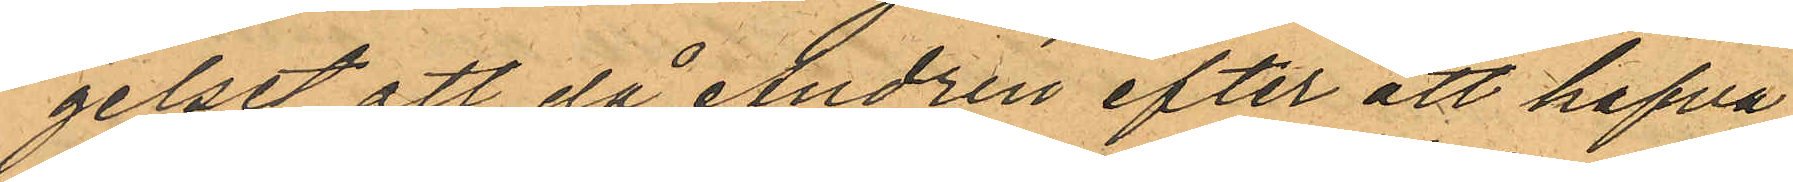gelset att, då Andrén efter att hafva
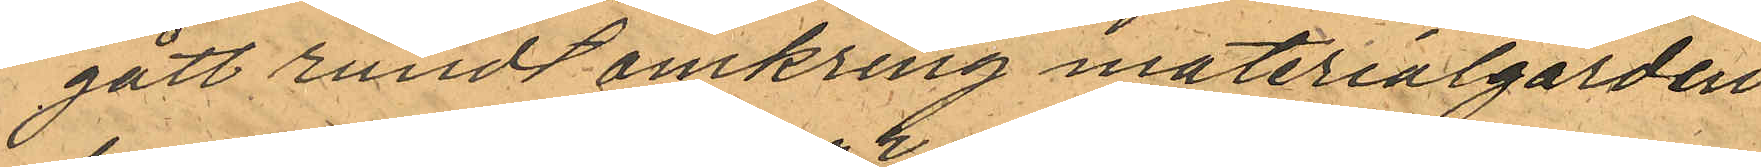gått rundt omkring materialgarden
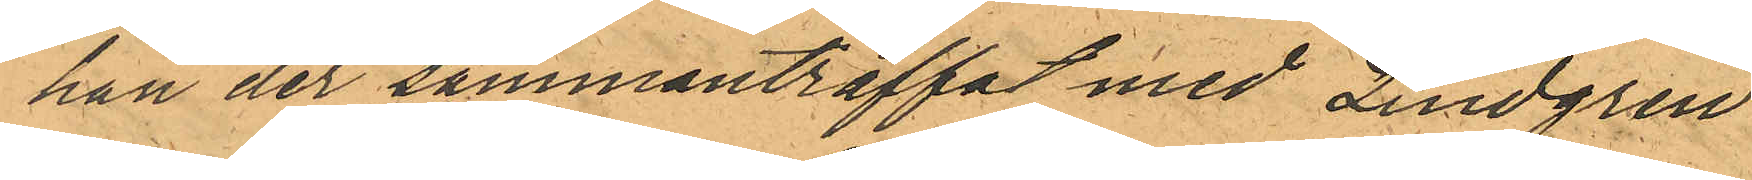han der sammanträffat med Lindgren
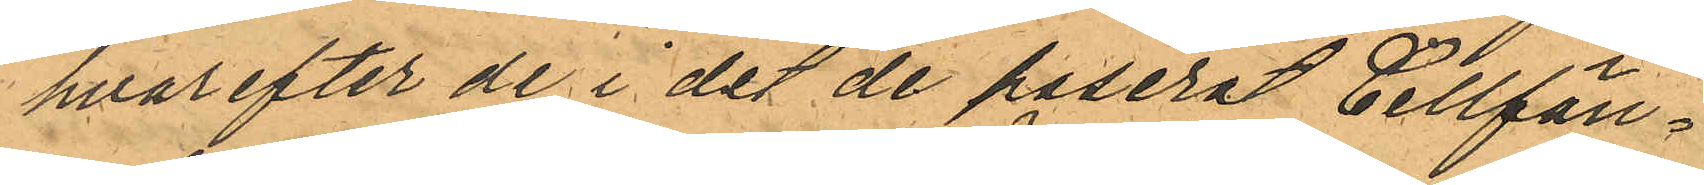hvarefter de i det de paserat Cellfän¬
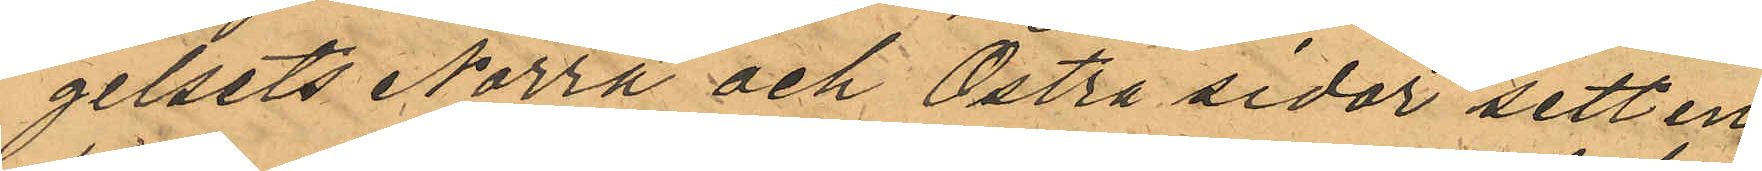gelsets Norra och Östra sidor sett en
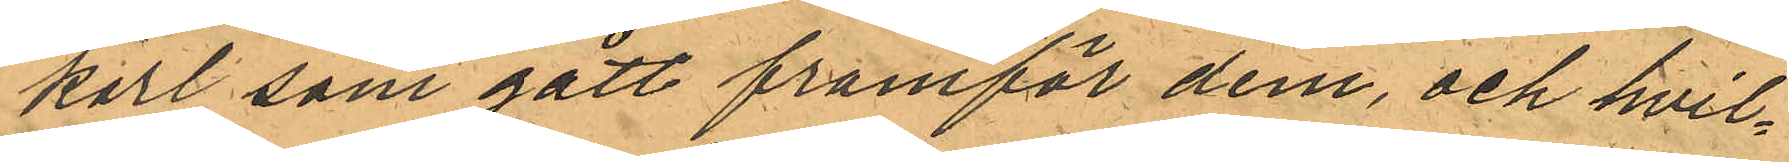karl som gått framför dem, och hvil¬
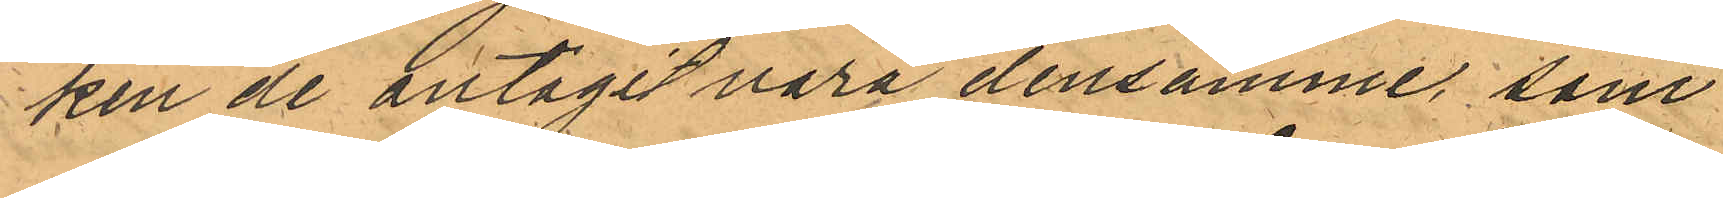ken de antagit vara densamme, som
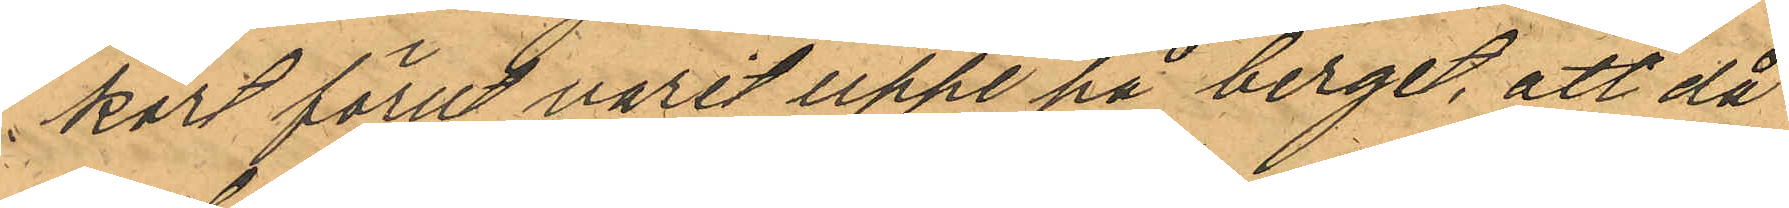kort förut varit uppe på berget, att då
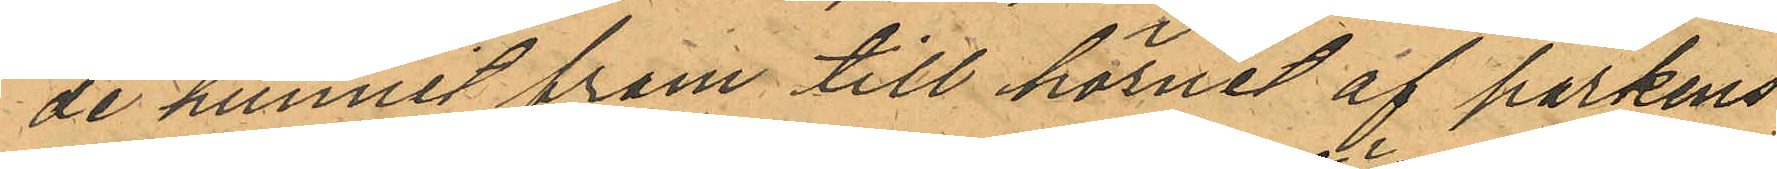de hunnit fram till hörnet af parkens
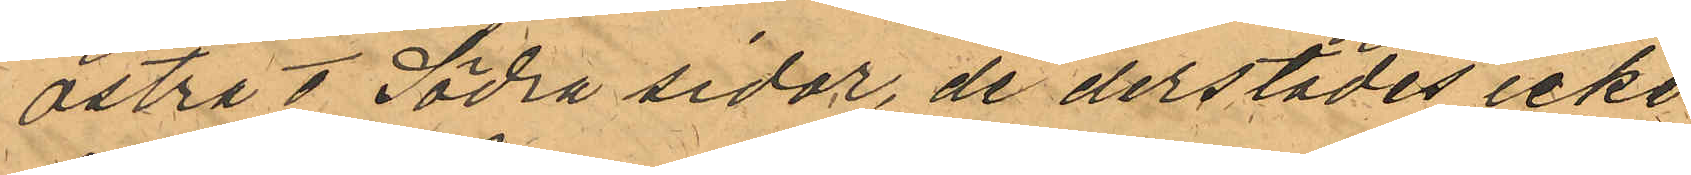Östra o Södra sidor, de derstädes icke
